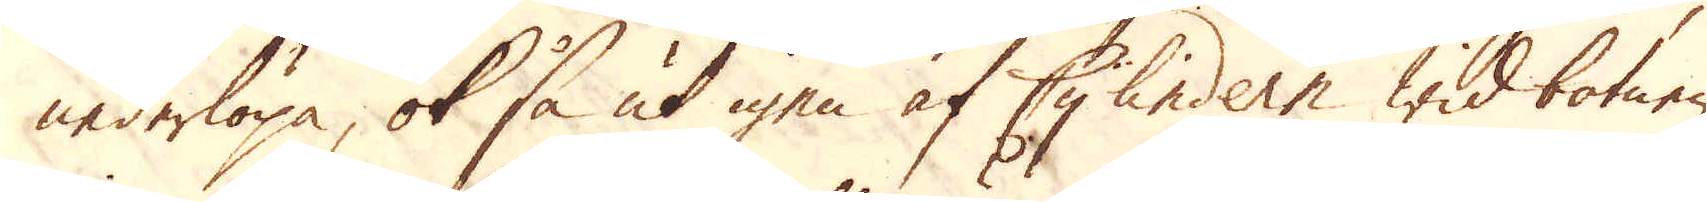nederlöpa, ok så ut igen af Cylindern wid botnen
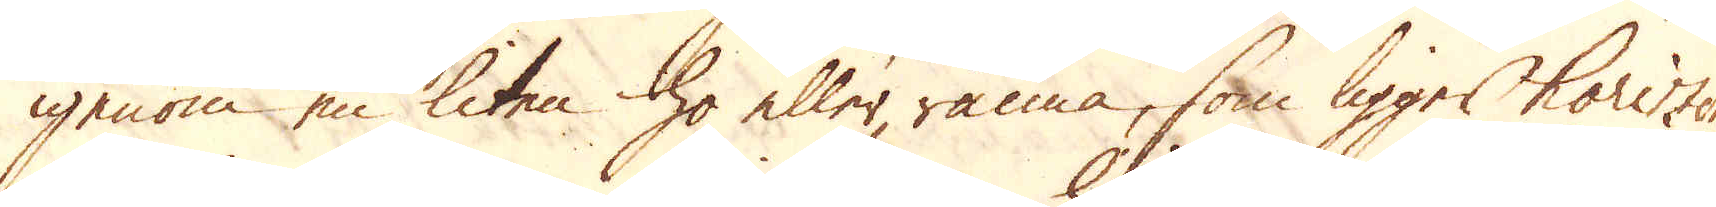igenom en liten ho eller ränna, som ligger horizon-
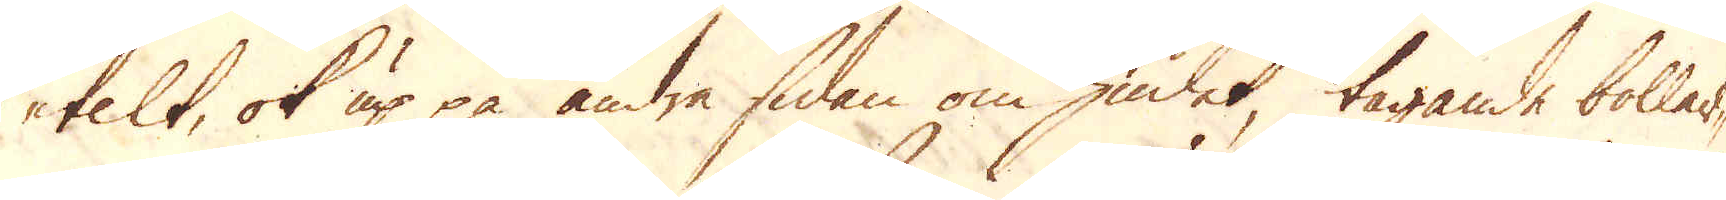telt, ok up på andra sidan om hiulet, tagande bollar-
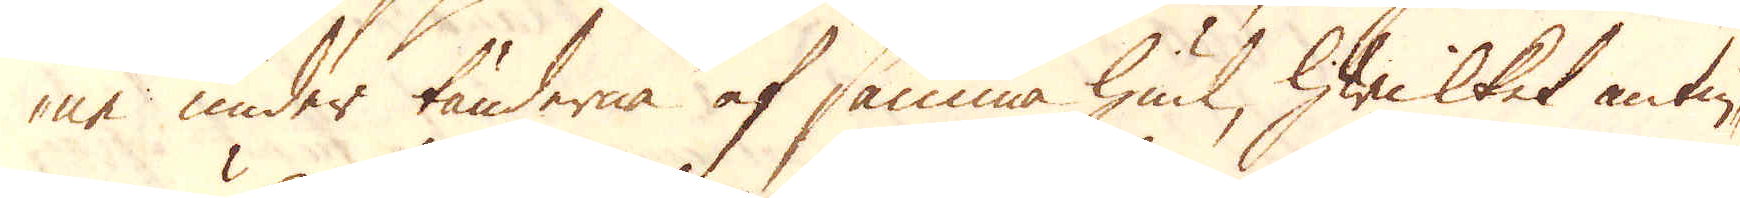ne under tänderna af samma hiul, hwilket antin-
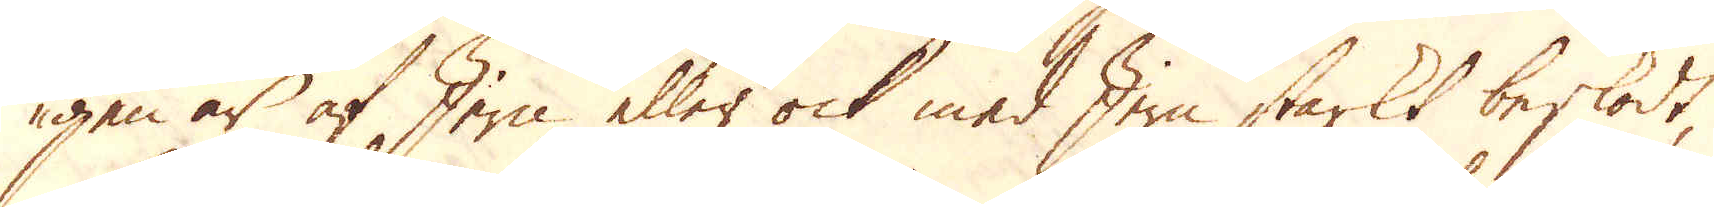gen är af Jern eller ock med Jern starkt beskodt,
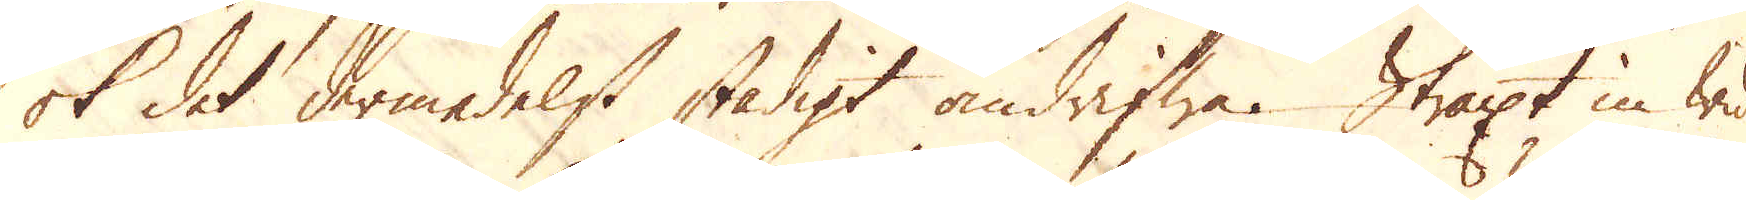ok det dermedelst stadigt omdrifwa. Straxt in wid
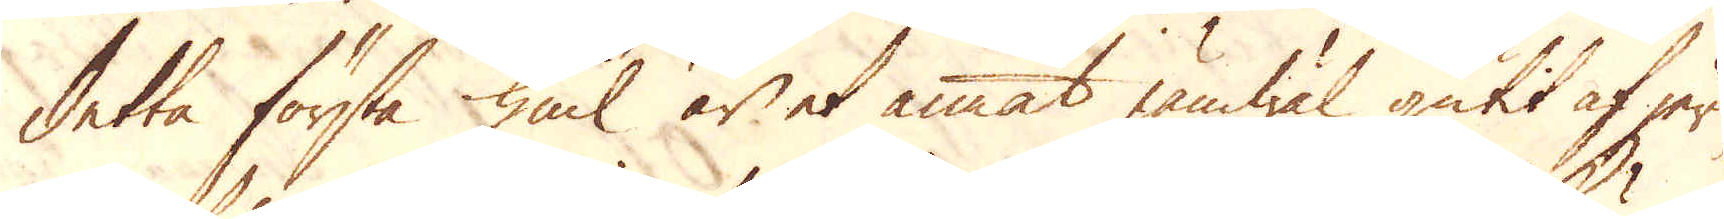detta första hiul är et annat jämwäl gutit af jern,
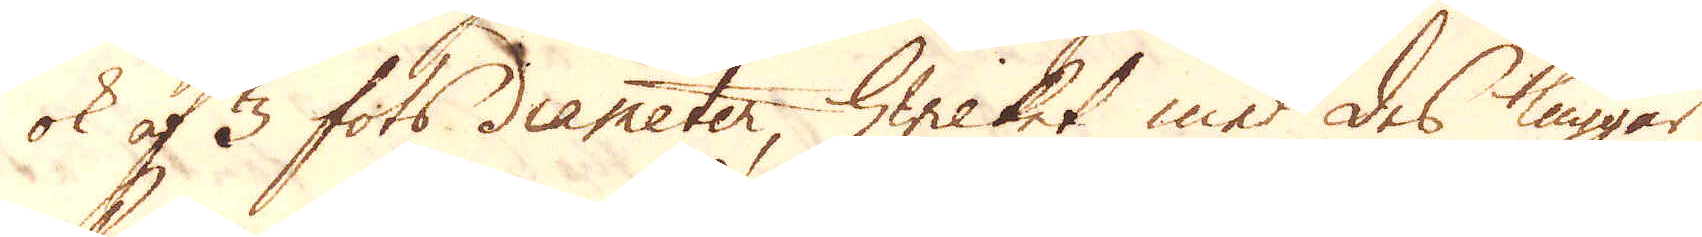ok af 3 fots diameter, hwilket med des kuggar
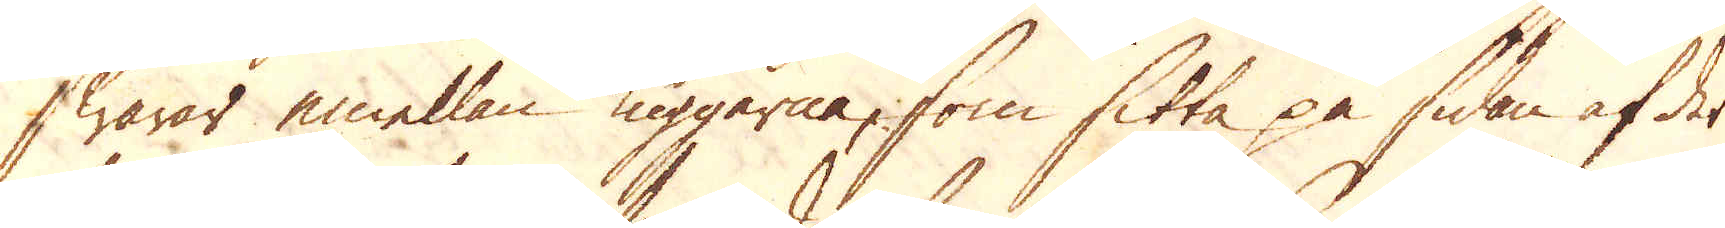hwarar emellan kuggerna, som sitta på sidan af det
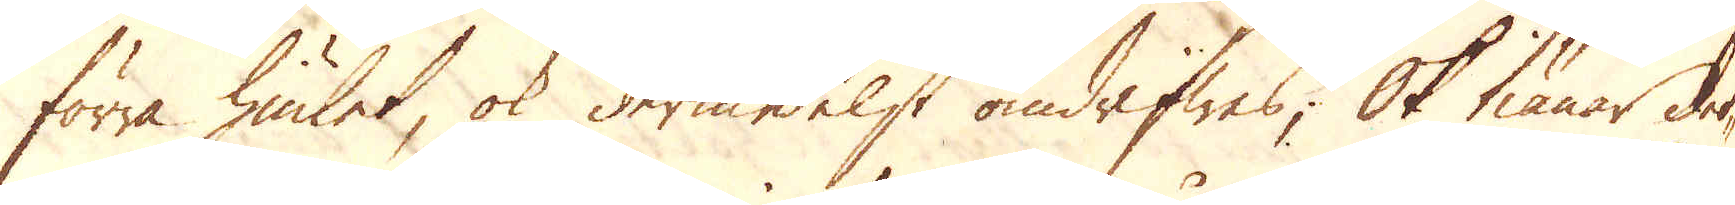förra hiulet, ok dermedelst omdrifwas; Ok tiänar det-
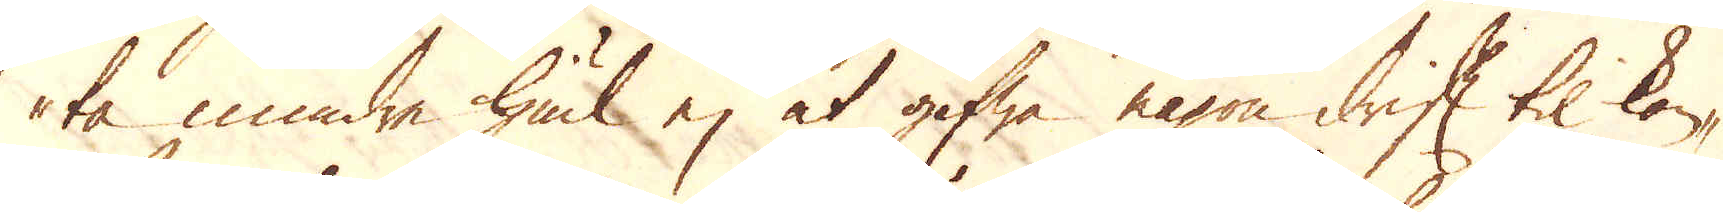ta mindre hiul ej at gifwa någon drift til kon-
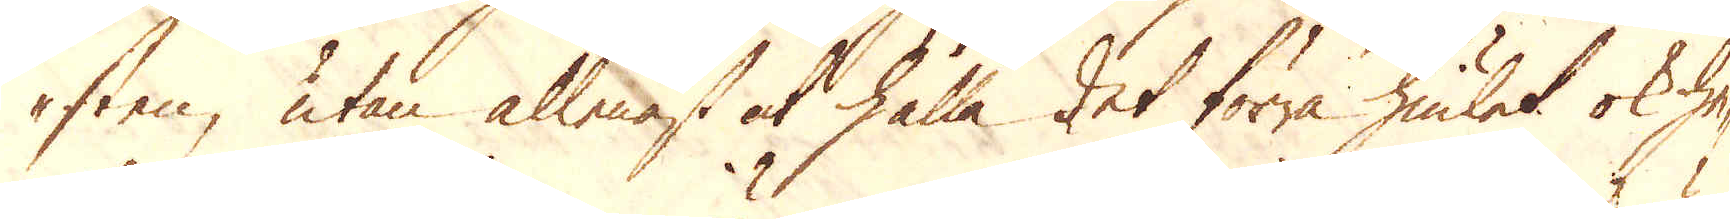sten, utan allenast at hålla det förra hiulet ok he-
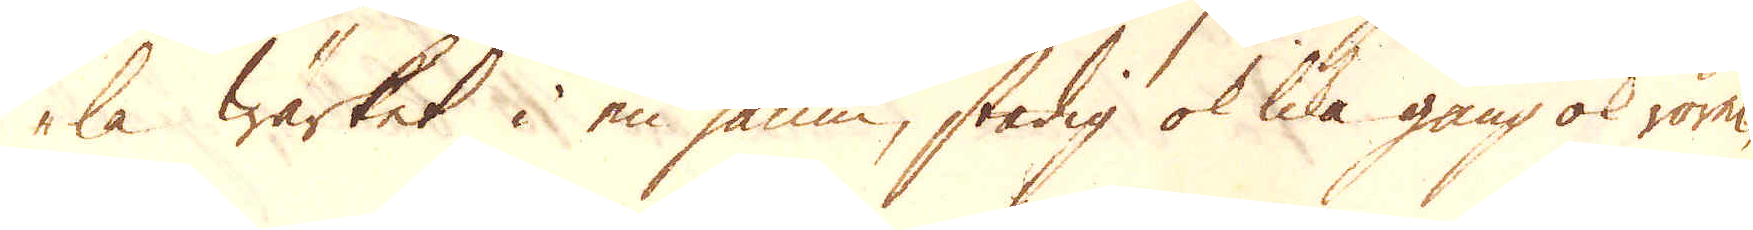la Wärket i en jämn, stadig ok lika gång ok rörel-
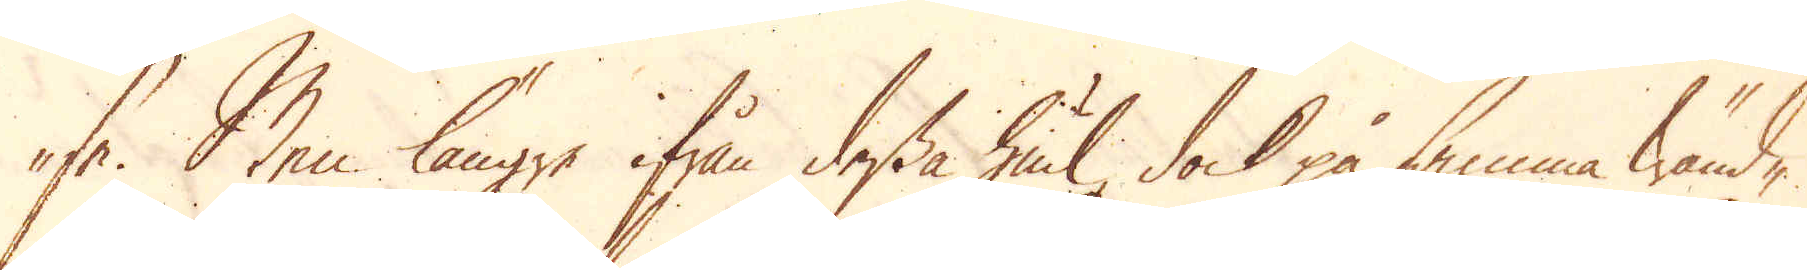se. Men längre ifrån dessa hiul, dock på samma wänd-
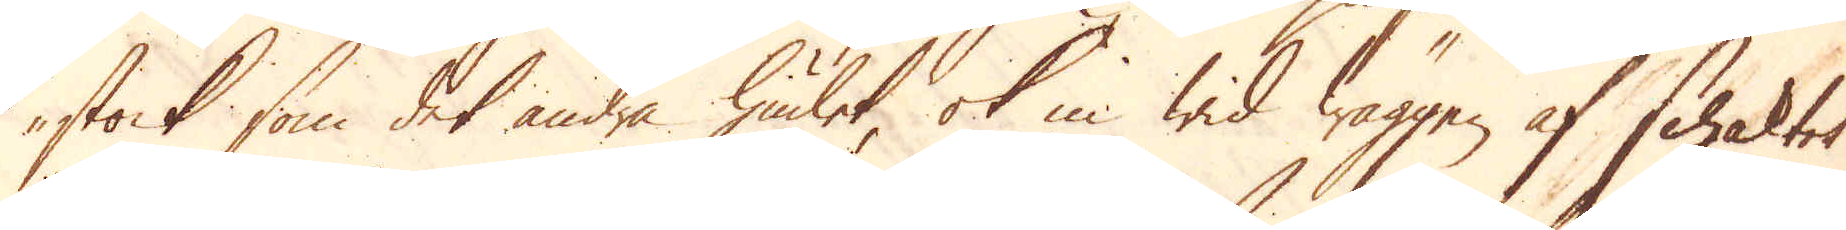stock som det andra hiulet, ok in wid wäggen af schaktet
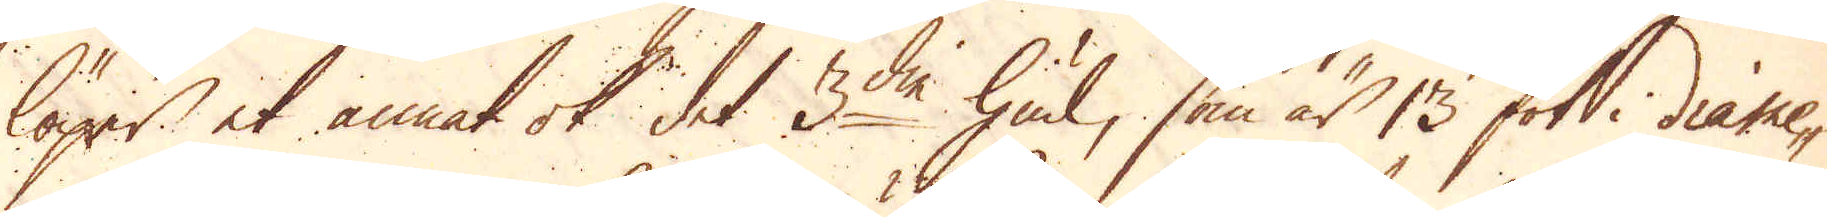löper et annat ok det 3die hiul, som är 13 fot i diame-
